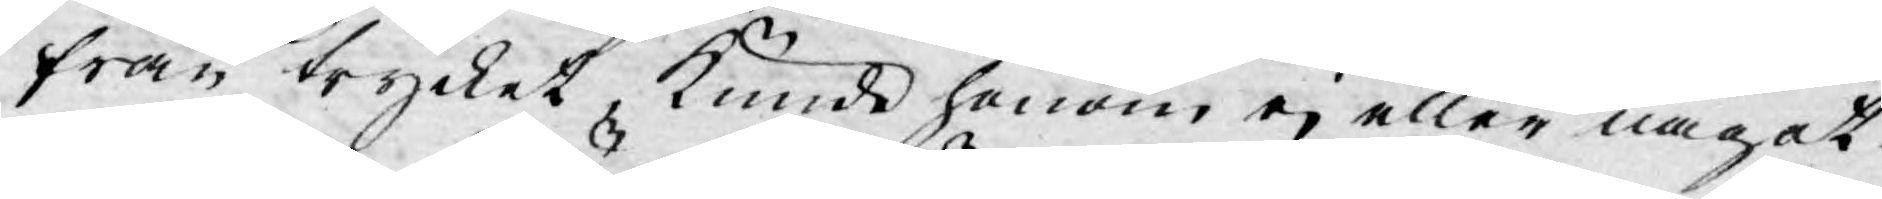från trycket, kunde honom ej eller något
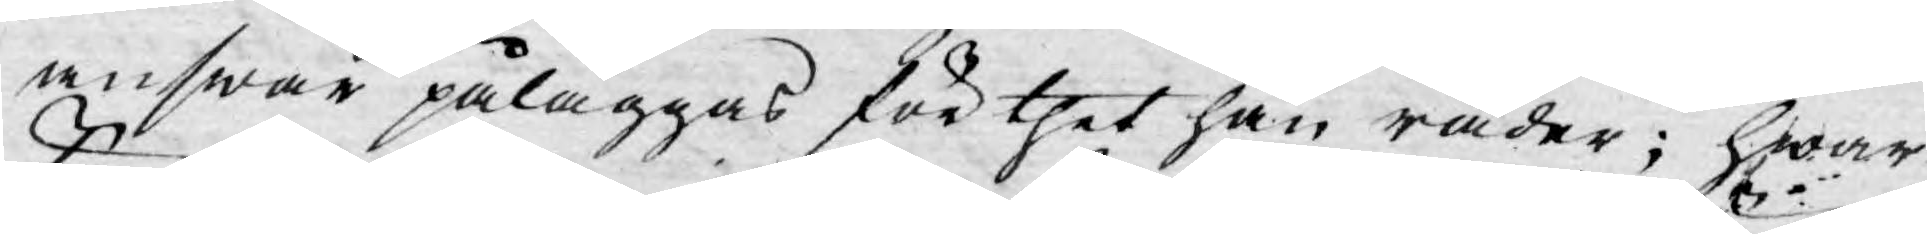answar påläggas för thet han råder; hwar
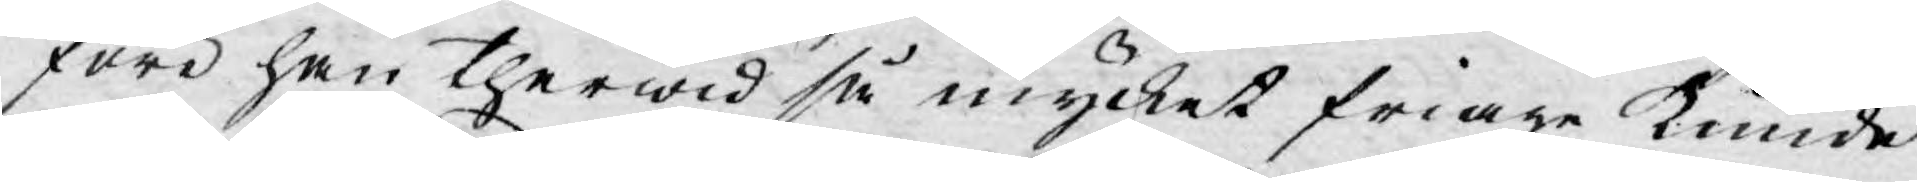före han therwid så mycket friare kunde
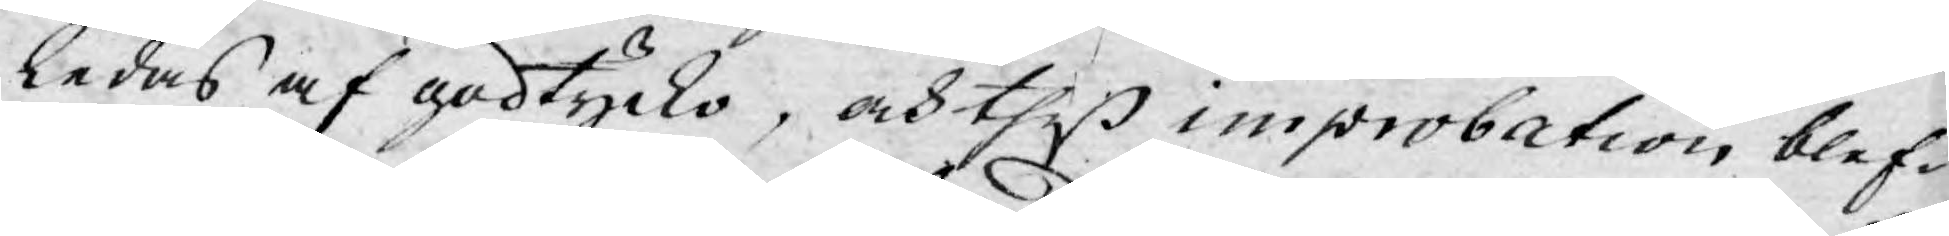ledas af godtycko, och theß improbation blef¬
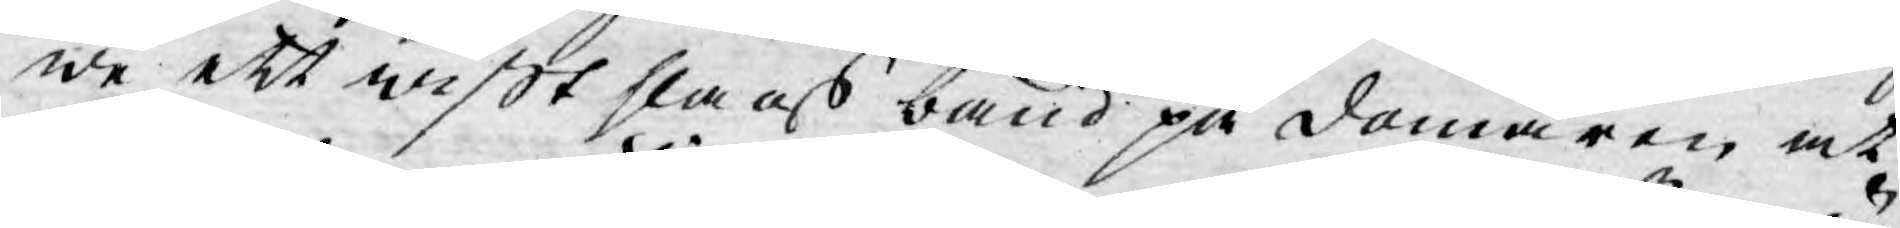we ett wißt slags band på domaren at
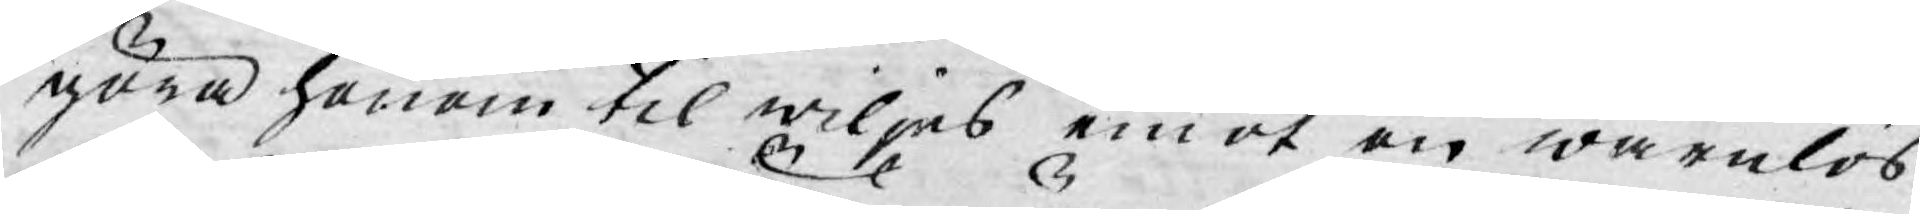göra honom til wiljes emot en wärnlös
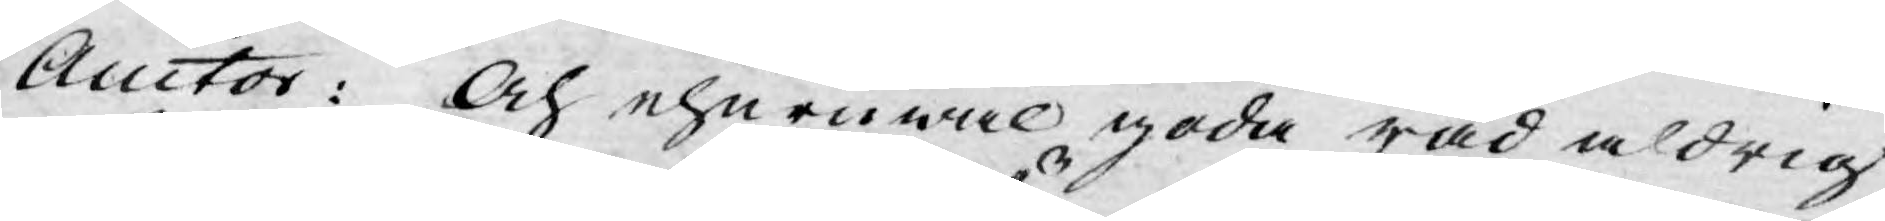Auctor: Och ehuruwäl goda råd aldrig
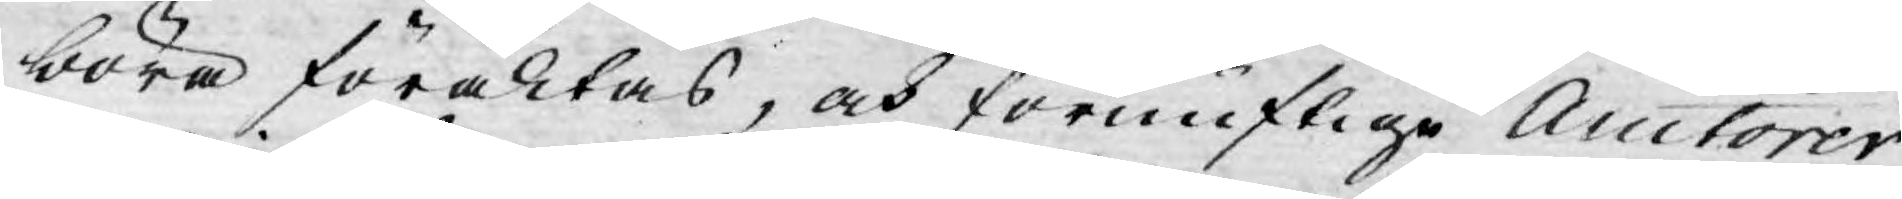böra föraktas, och förnuftige Auctorer
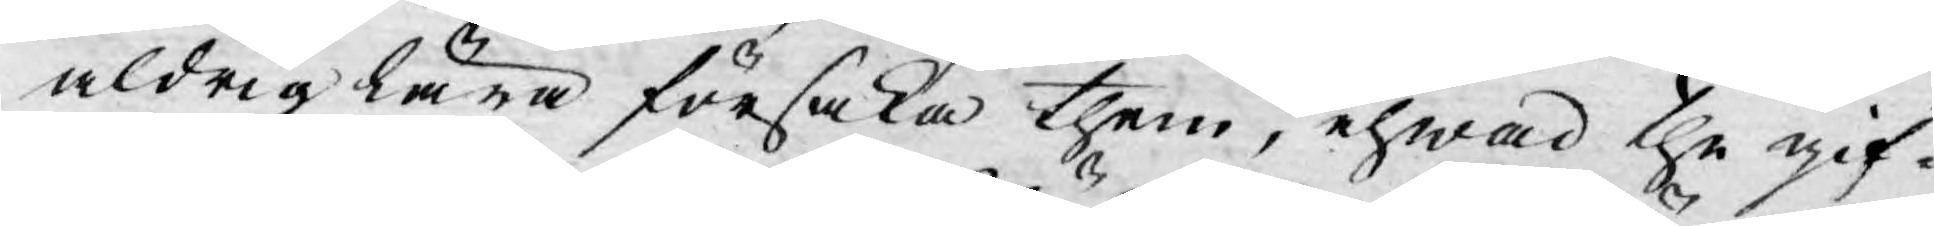aldrig lära försaka them, ehwad the gif¬
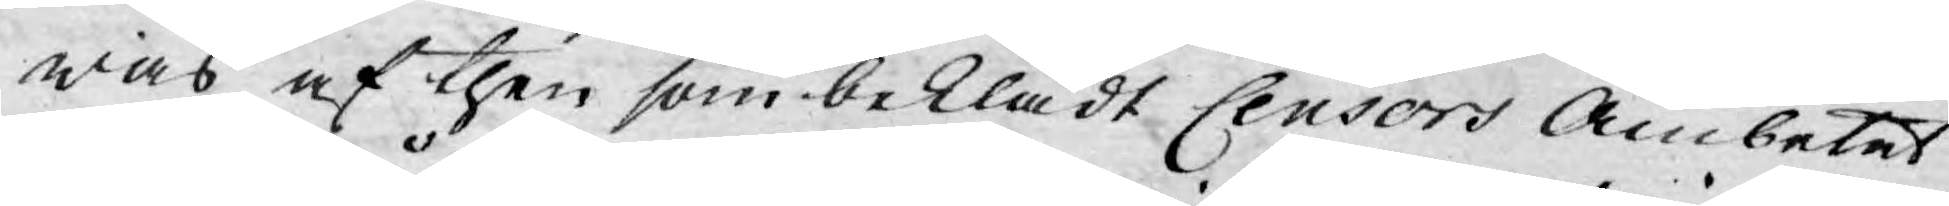was af then som beklädt Censors Ämbetet
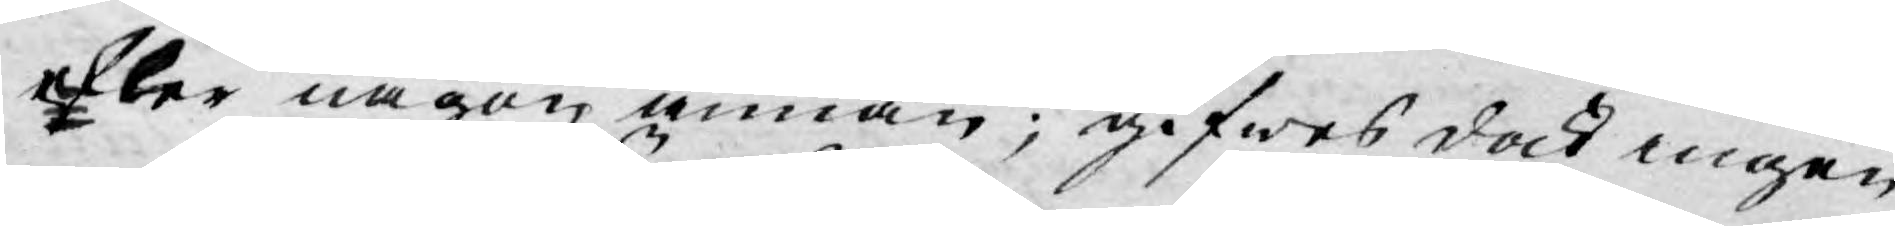eller någon annan; gifwes dock ingen
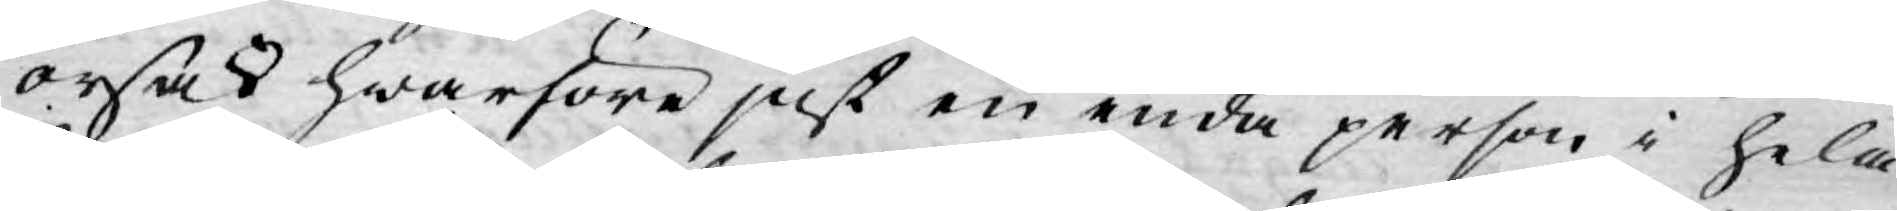orsak hwarföre just en enda person i hela
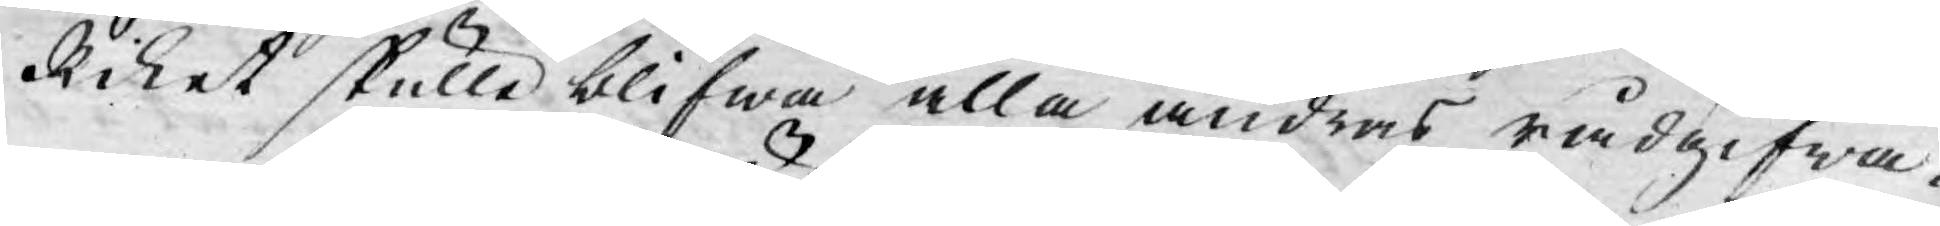Riket skulle blifwa alla andras rådgifwa¬
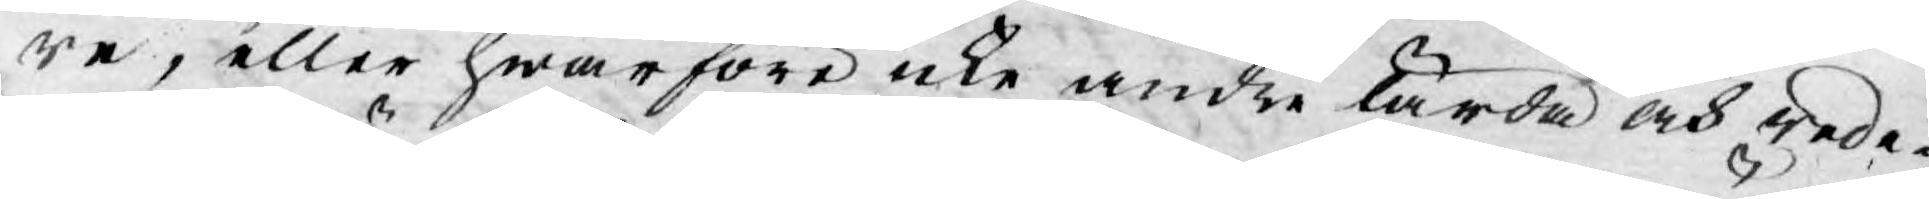re, eller hwarföre icke andre lärda och rede¬
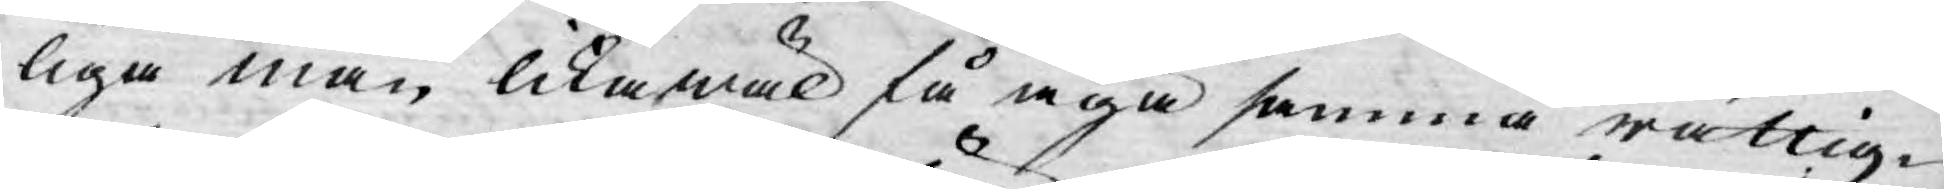liga män likawäl få äga samma rättig¬
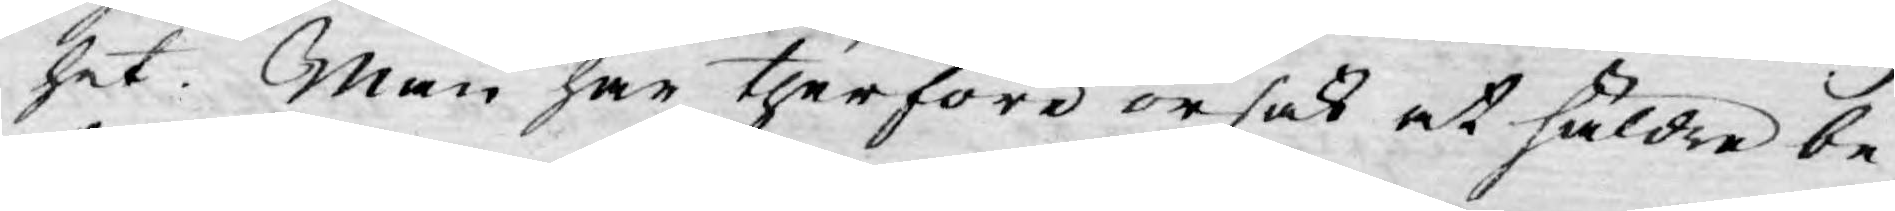het. Man har therföre orsak at häldre be¬
